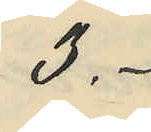3.-
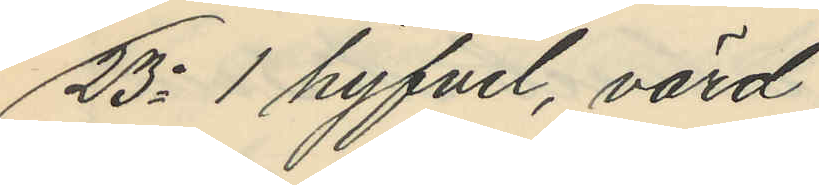23o 1 hyfvel, värd
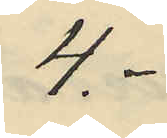4 .-
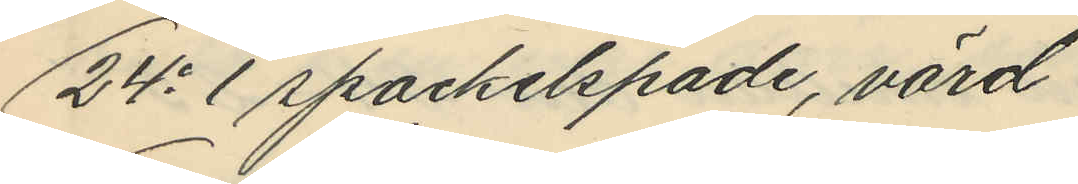24o 1 spackelspade, värd
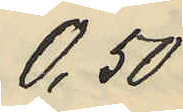0,50
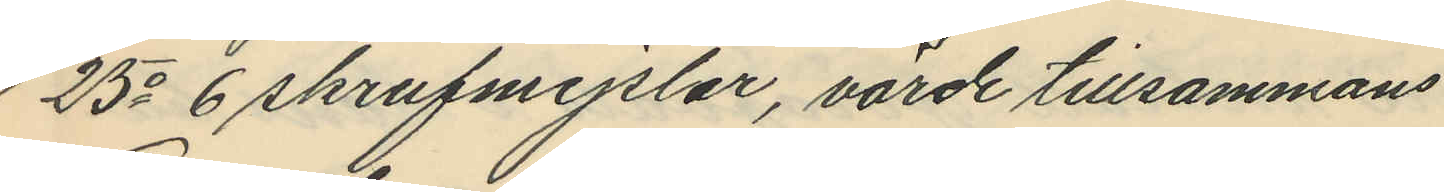25o 6 skrufmejslar, värde tillsammans
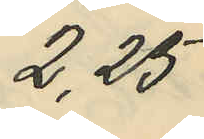2,25
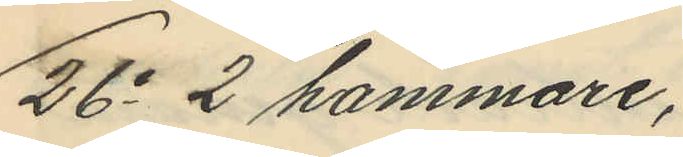26o 2 hammare,
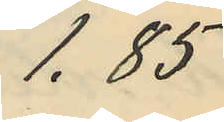1,85
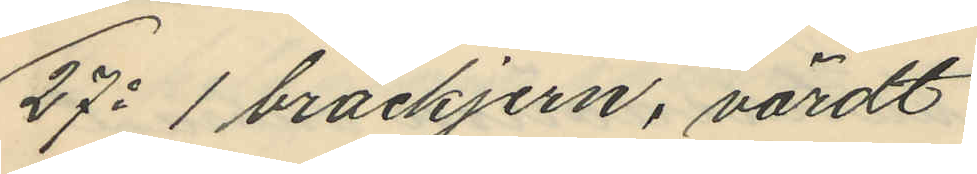27o 1 bräckjern, värdt
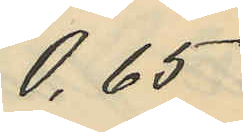0,65
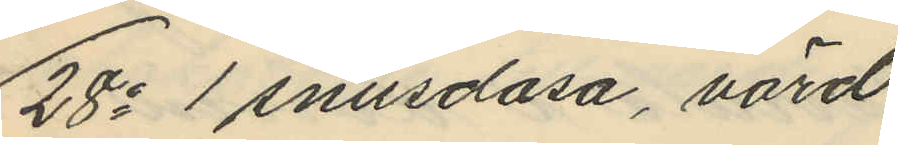28o 1 snusdosa, värd
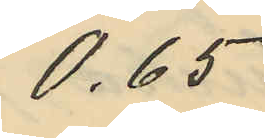0,65
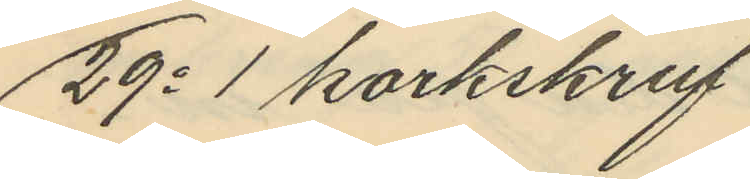29o 1 korkskruf
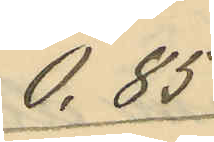0,85
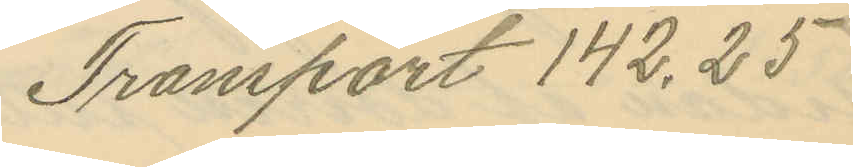Transport 142,25
